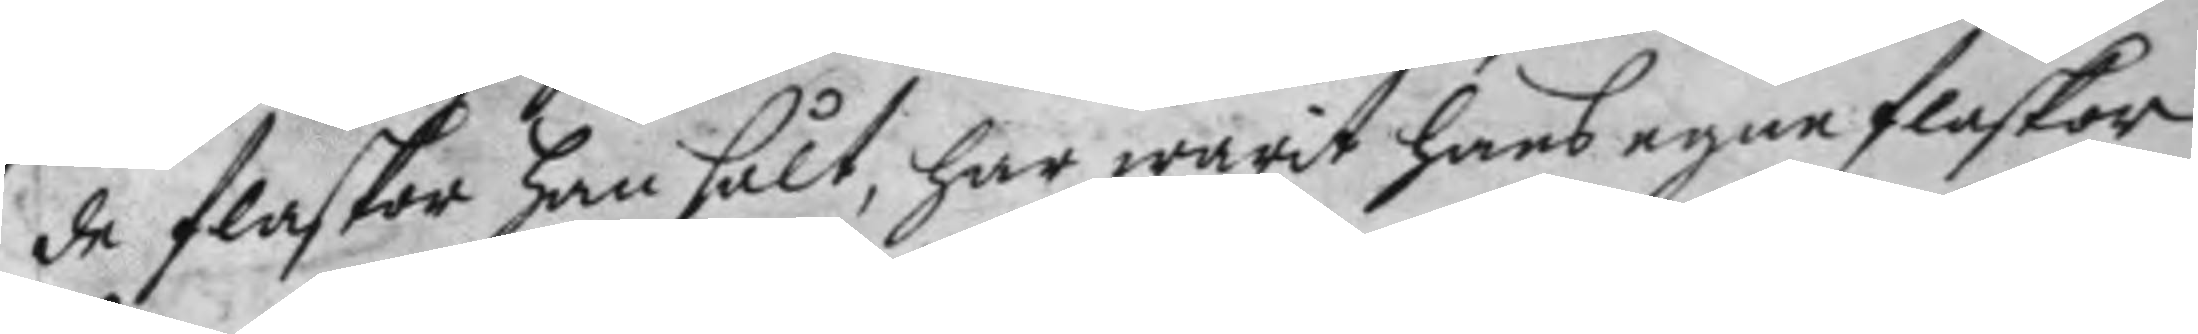de flaskor han sålt, har warit hans egne flaskor
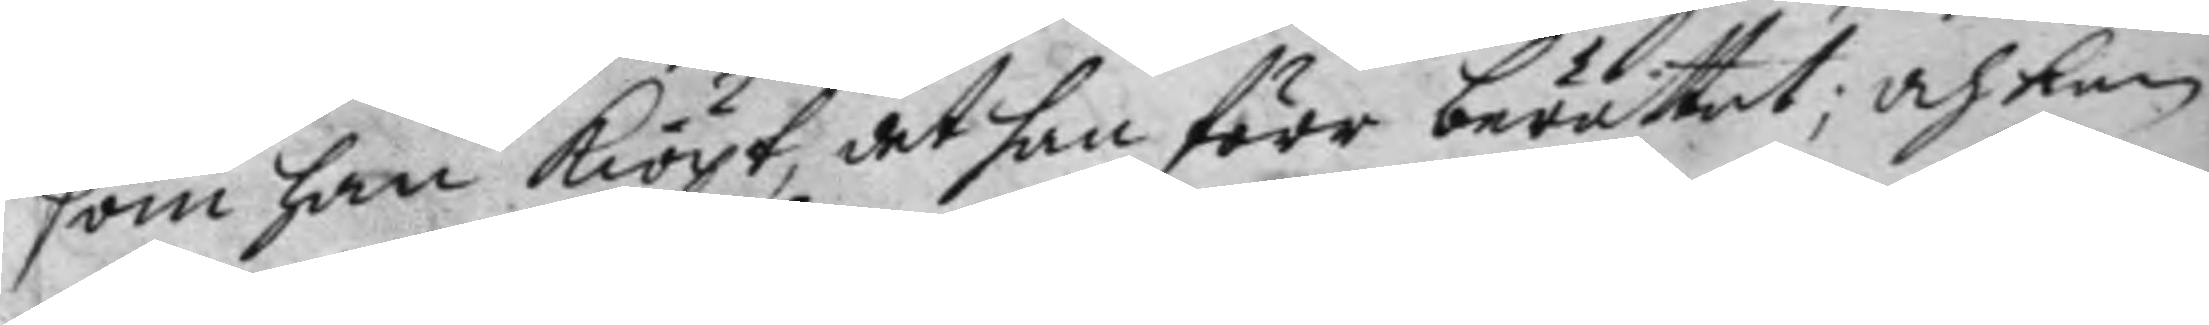som han kiöpt, det han förr berättat; och kan
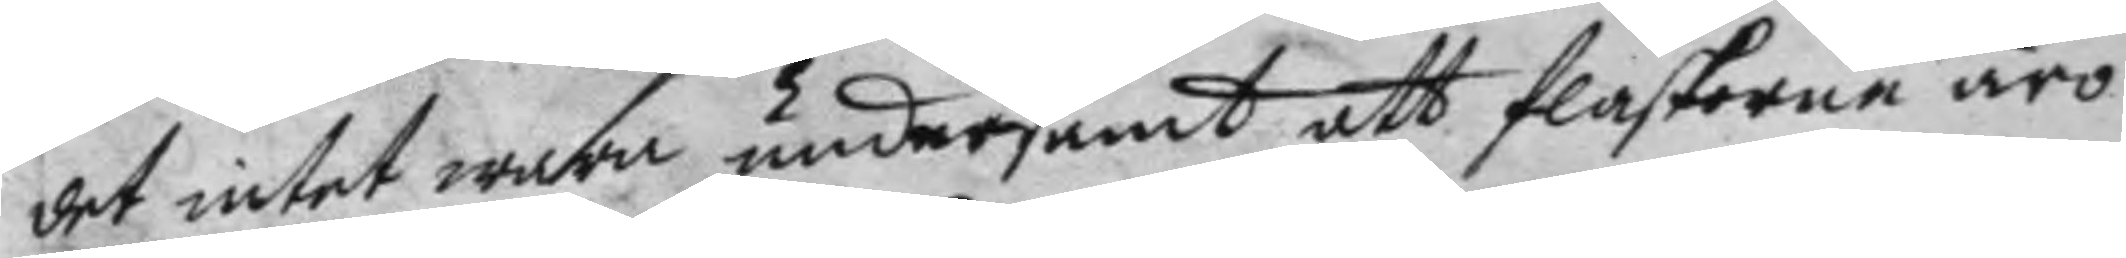det intet wara undersamt att flaskorne äro
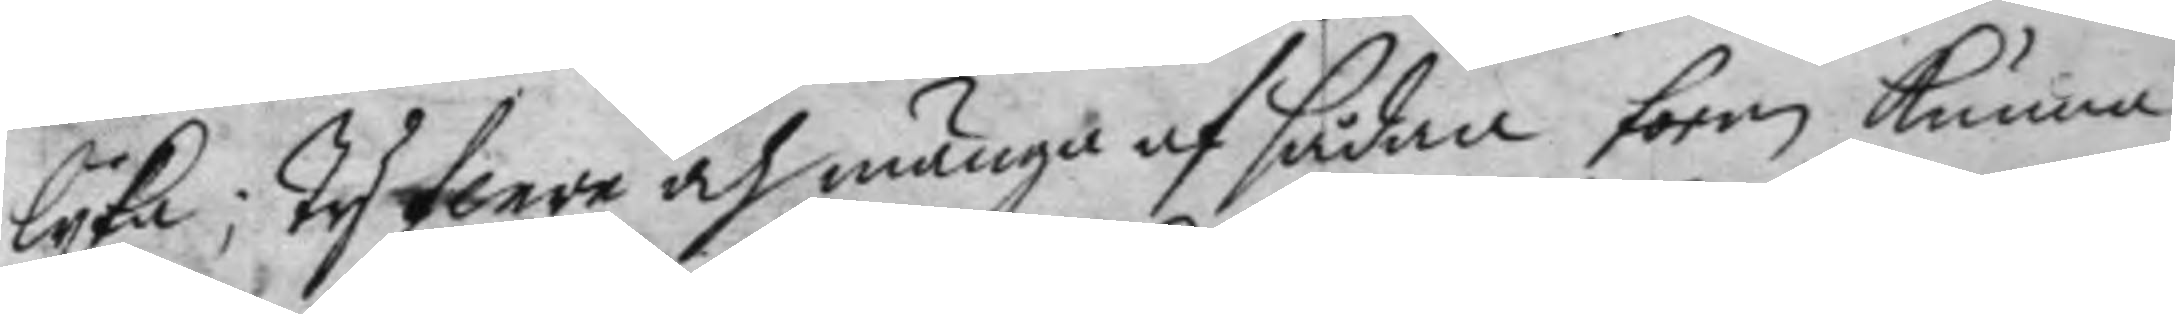lyka; ty flere och många af sådana form kunna
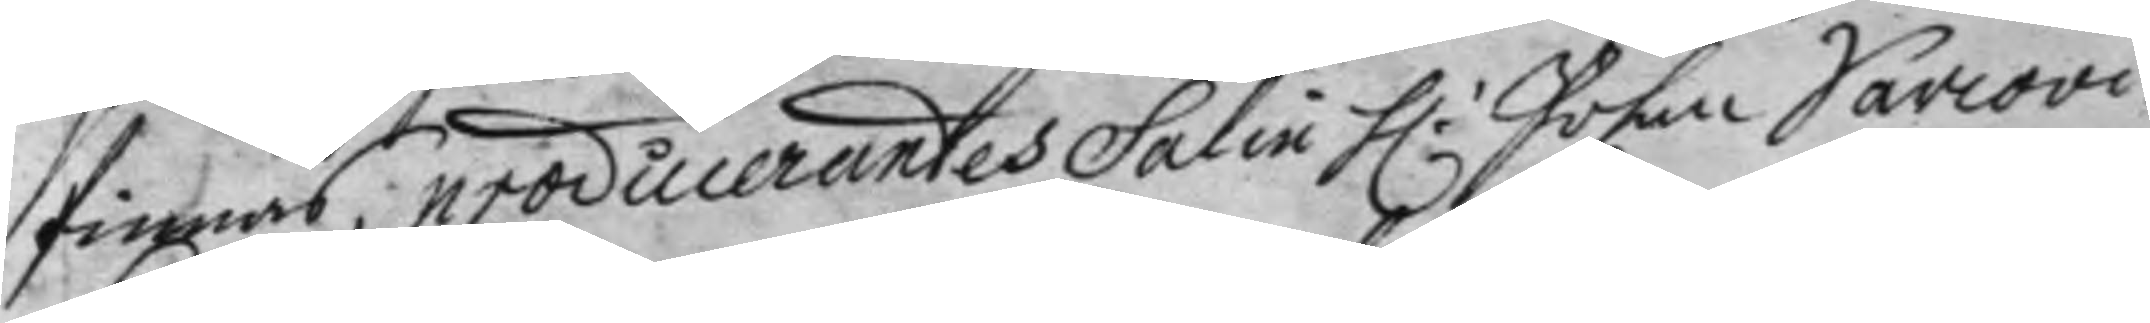finnas, producerandes Salin H.r Johan Sawovi
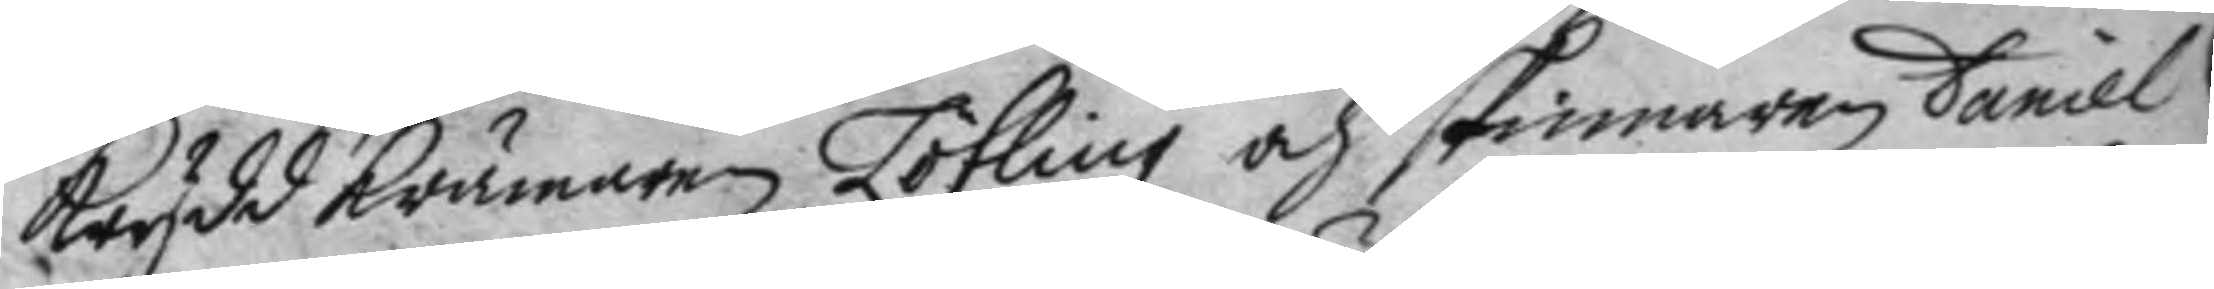kryddkrämare Löfling och skinnaren Daniel
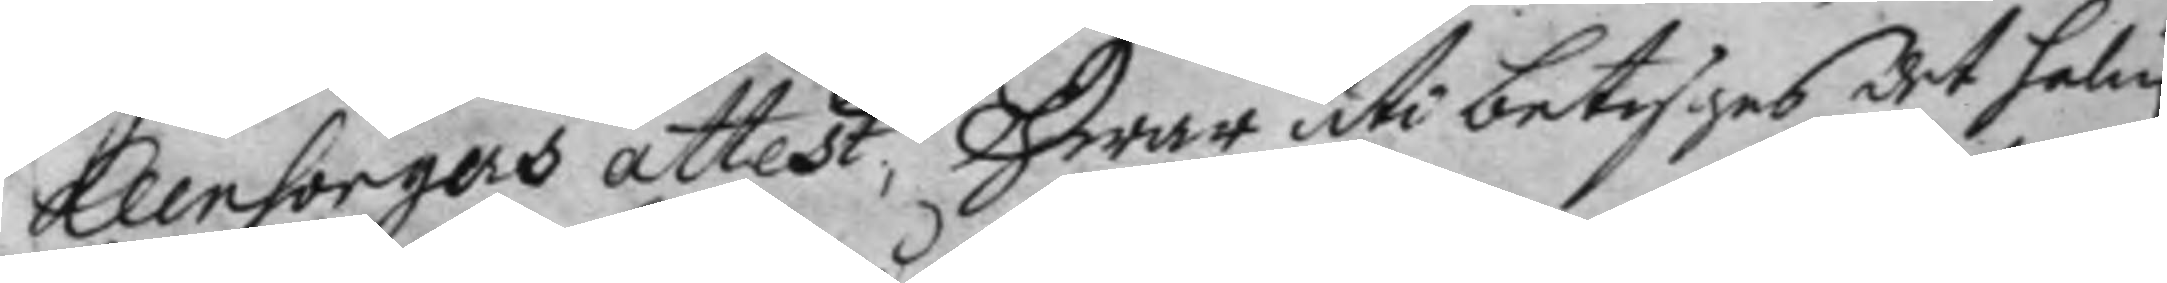Klensorgers attest, hwar uti betygas det salin
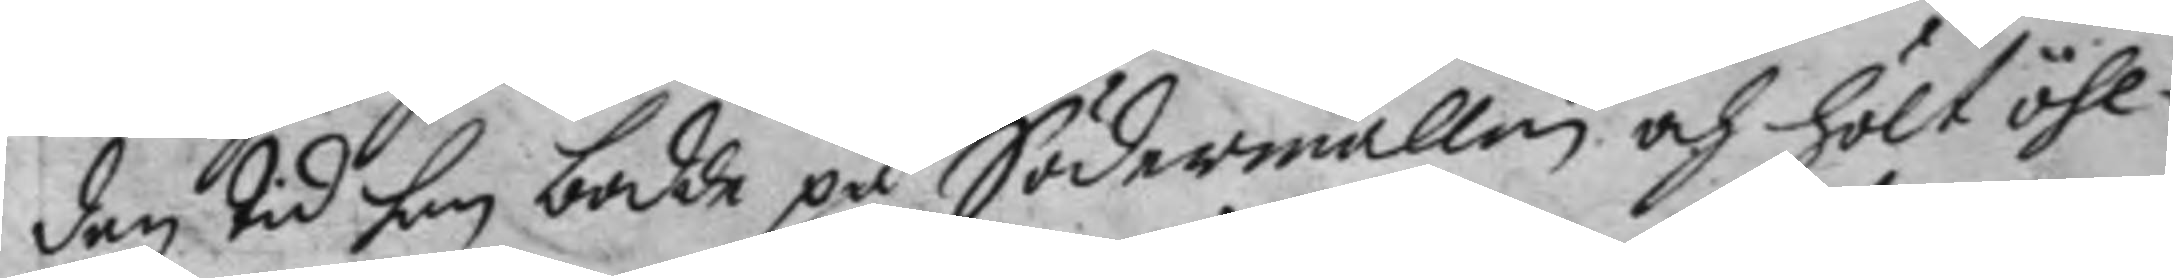den tid han bodde på Södermallm och hölt öhl¬
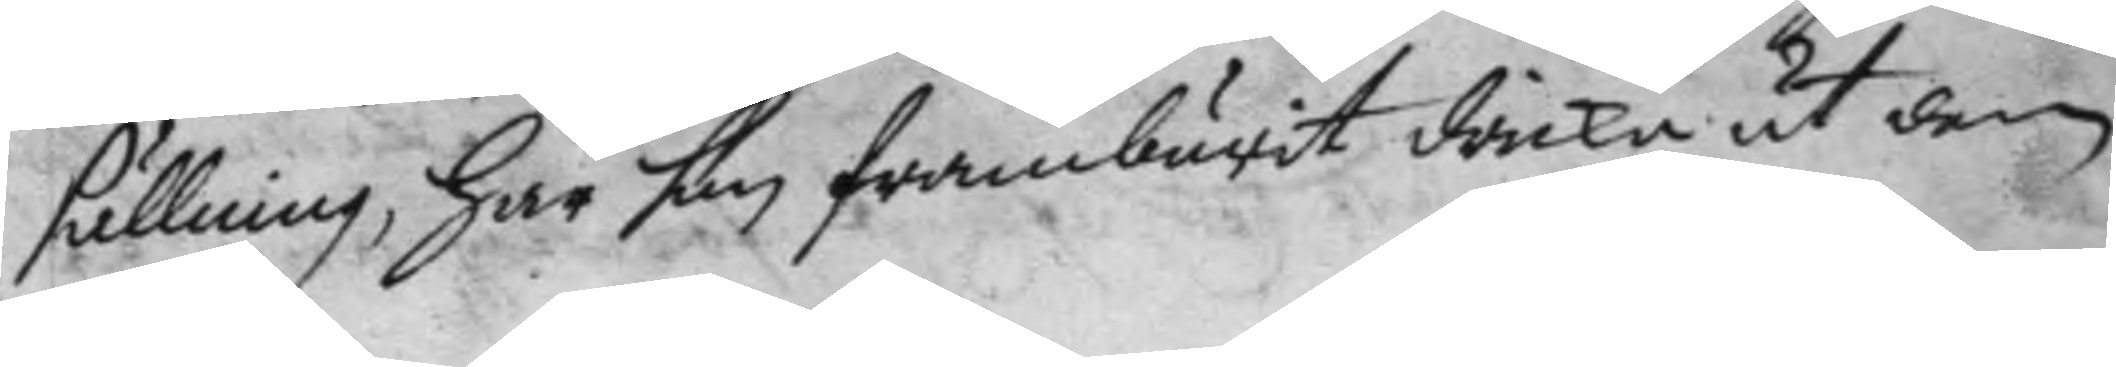sällning, har han framburit dricka åt dem
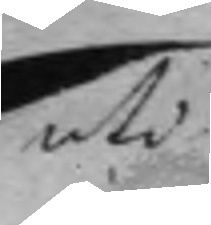uti
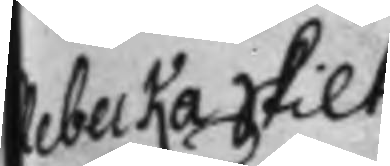Rebecka Skilt
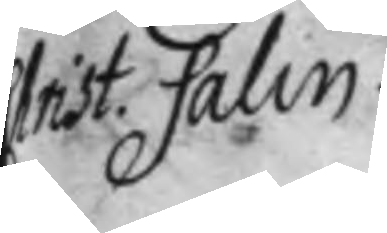Christ. Salin
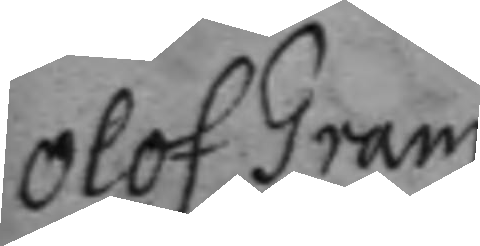Olof Gram.
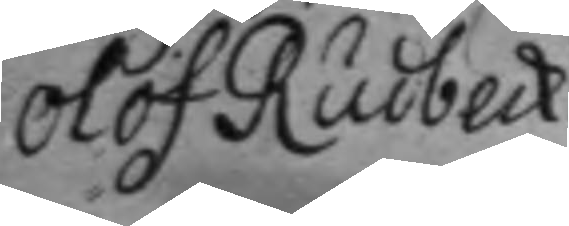Olof Rudbeck.
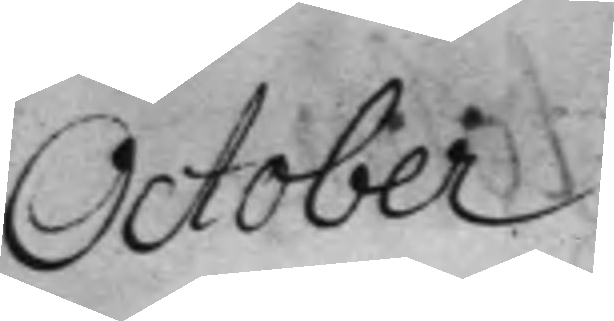October.
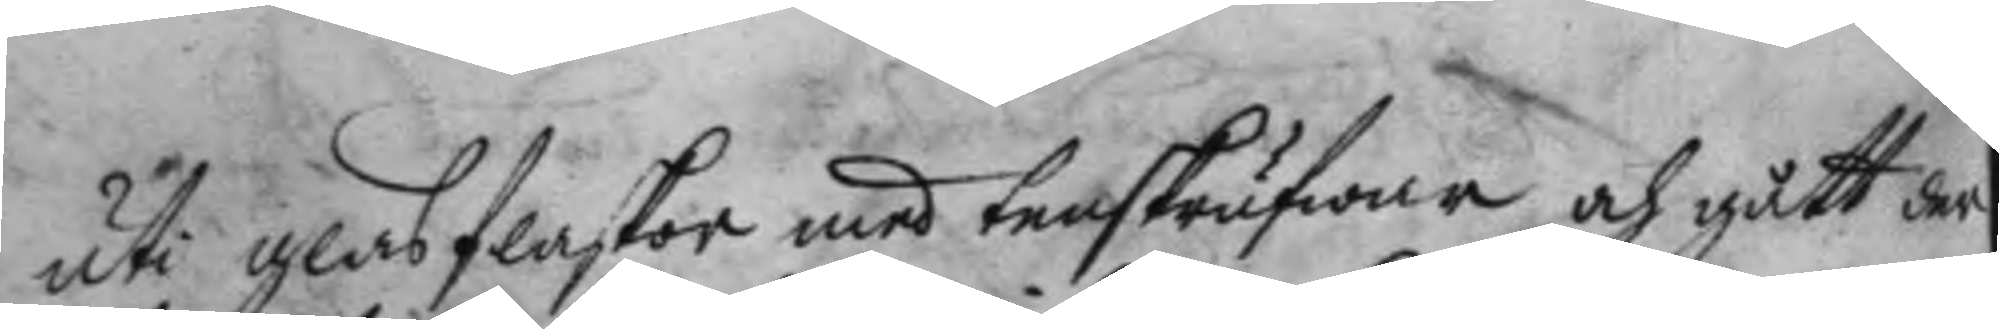uti glasflaskor med tenskrufwar och gått der
